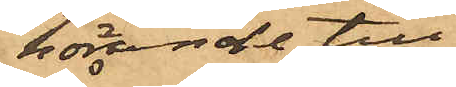hörande till
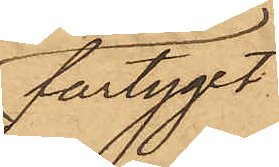fartyget
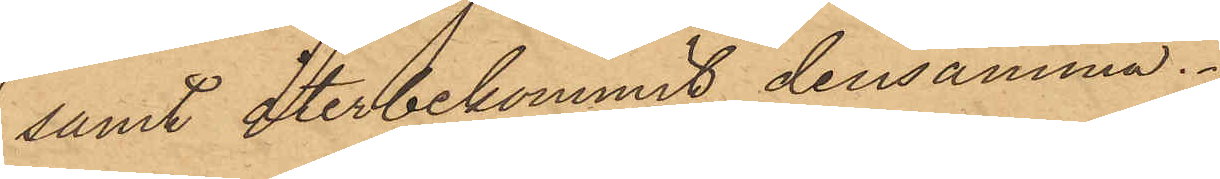samt återbekommit densamma.
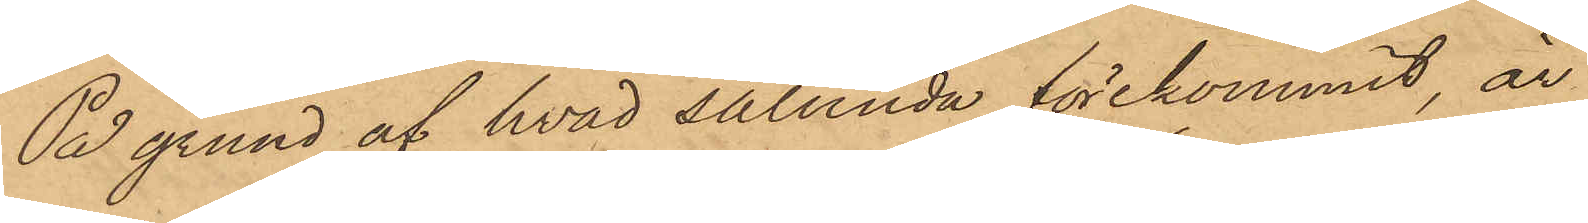På grund af hvad sålunda förekommit, är
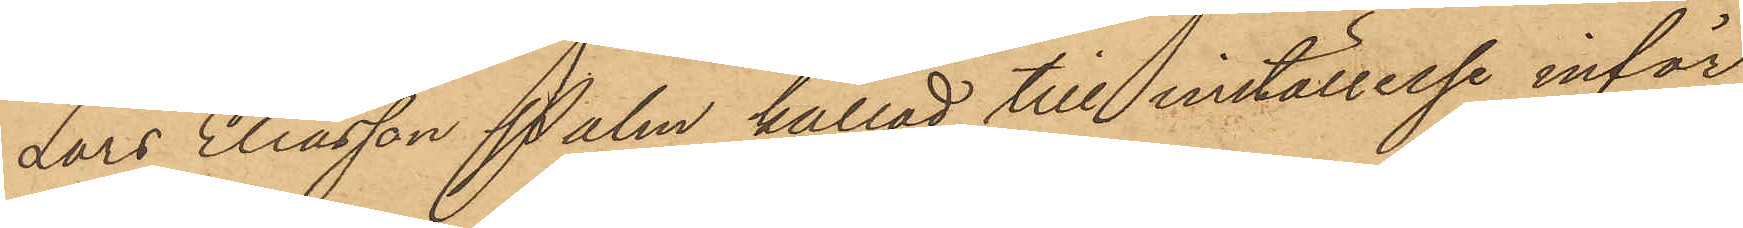Lars Eliasson Palm kallad till inställelse inför
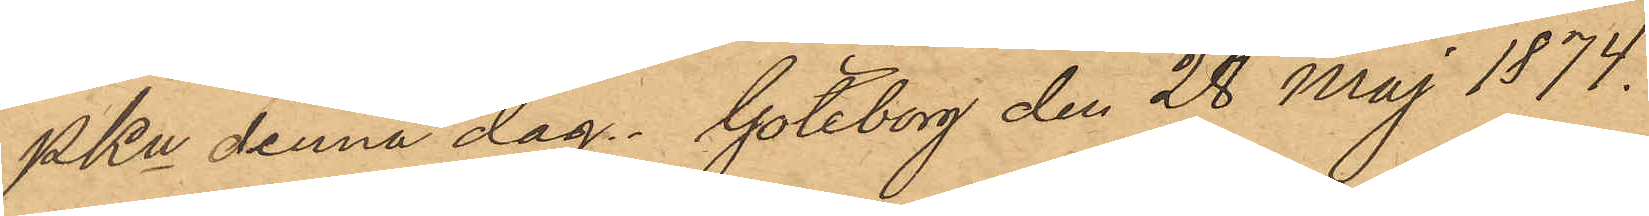PKn denna dag. Göteborg den 28 Maj 1874.
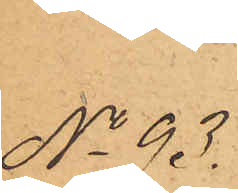No 93.
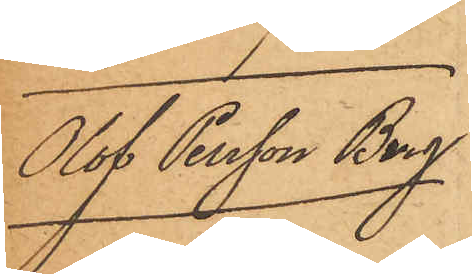Olof Persson Berg
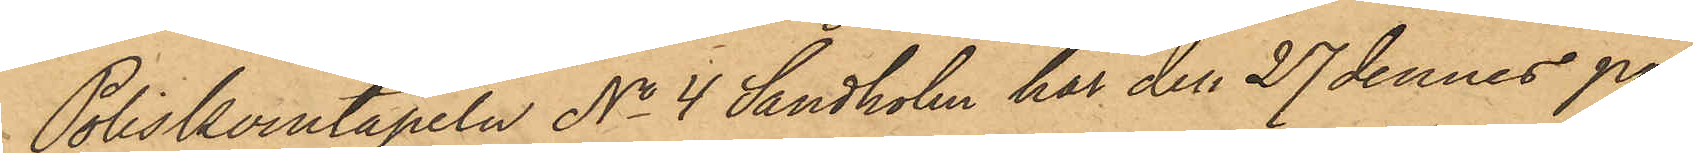Poliskonstapeln No 4 Sandholm har den 27 dennes på
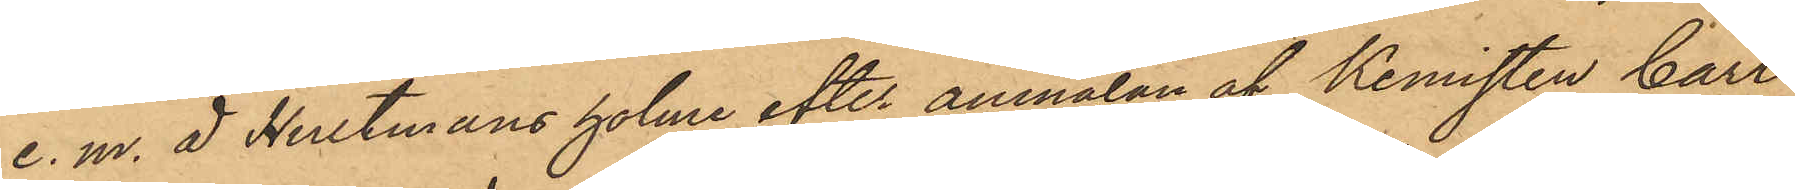e. m. å Hultmans holme efter anmälan af Kemisten Carl
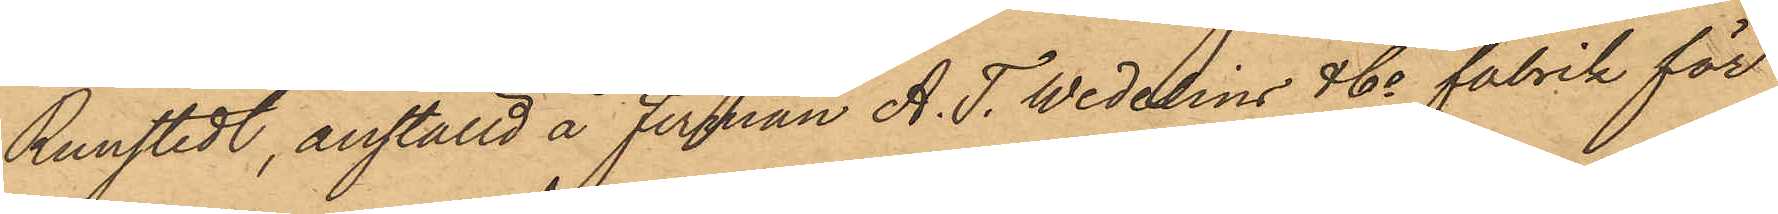Runstedt, anställd å firman A. T. Wedelins & Co fabrik för
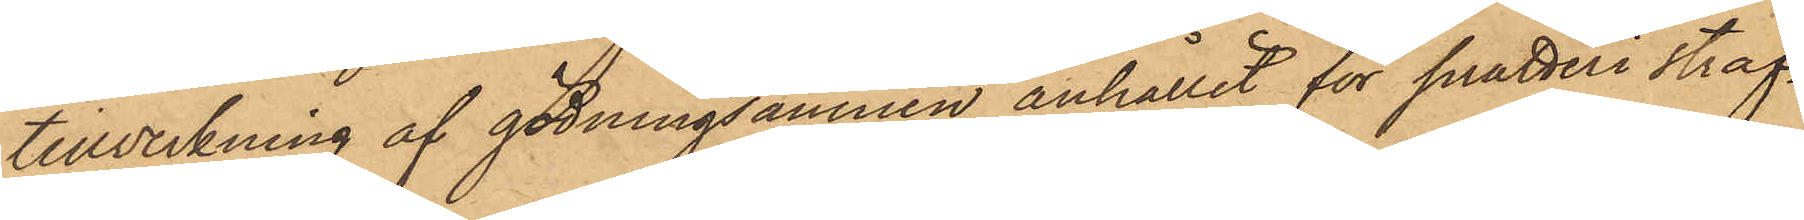tillverkning af gödningsämnen anhållit för snatteri straf¬
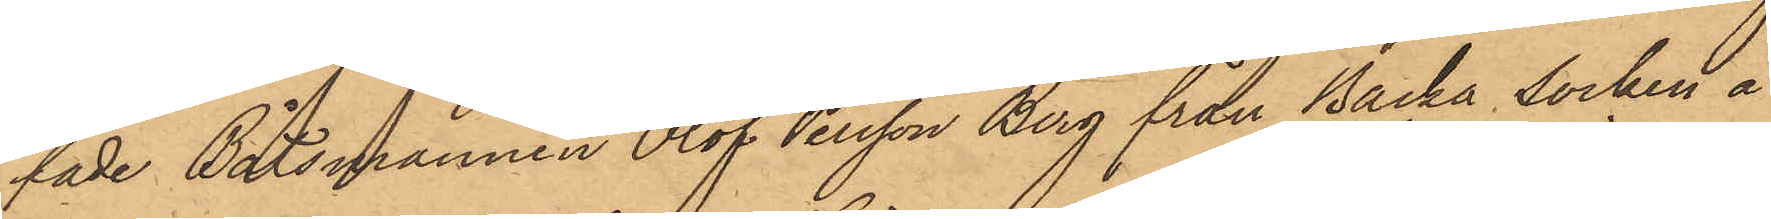fade Båtsmannen Olof Persson Berg från Backa Socken å
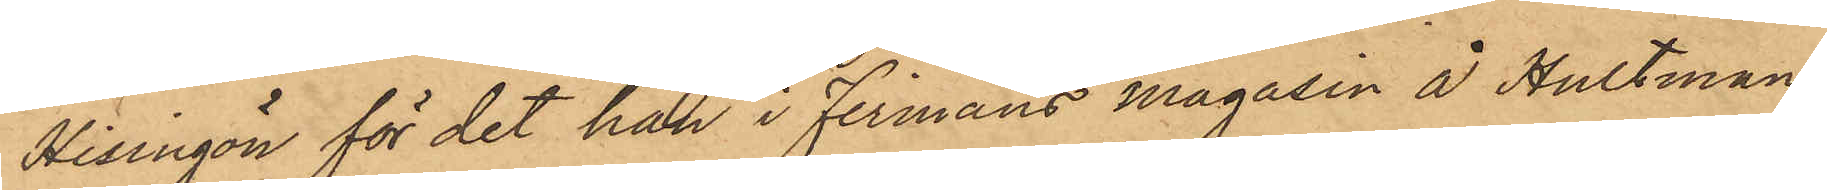Hisingön för det han i firmans magasin å Hultmans
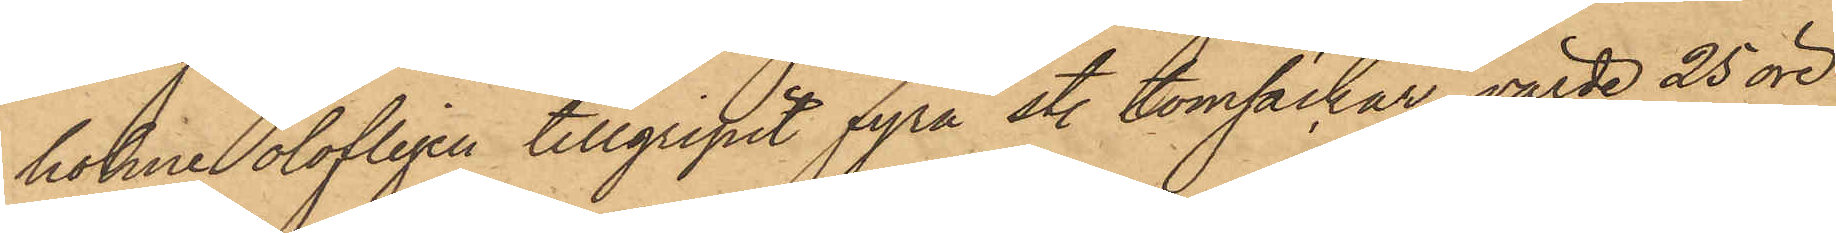holme olofligen tillgripit fyra st. tomsäckar, värde 25 öre
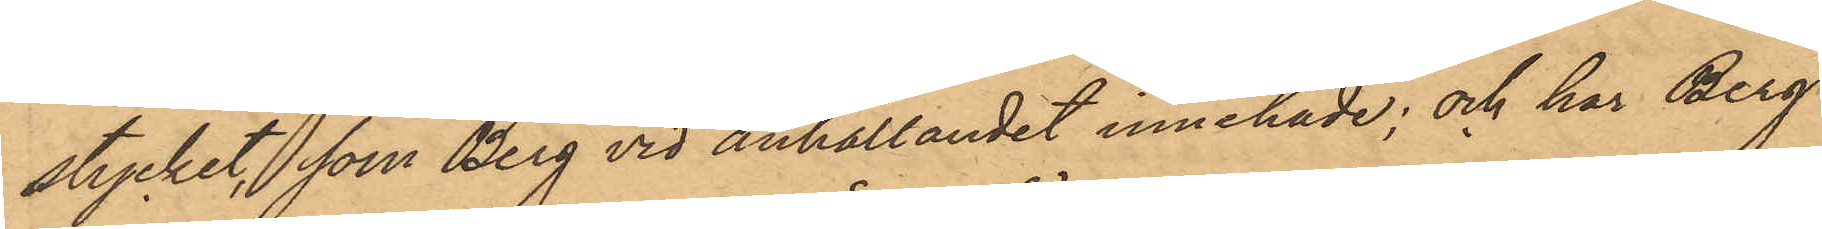stycket, som Berg vid anhållandet innehade; och har Berg
